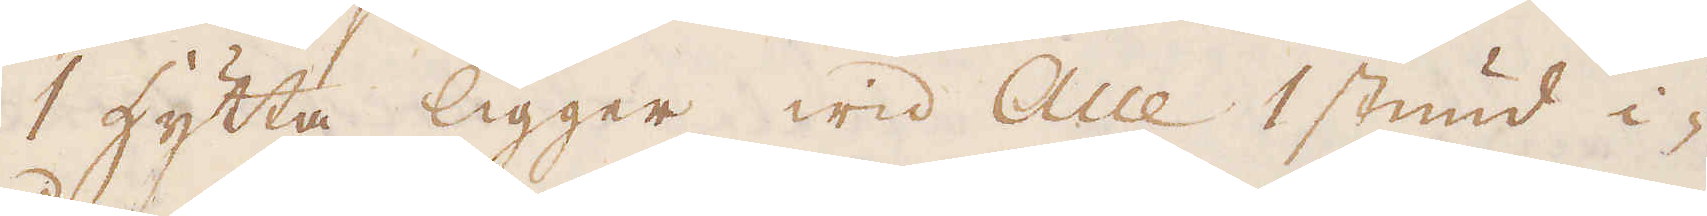1 hytta ligger wid Alle 1 stund i-
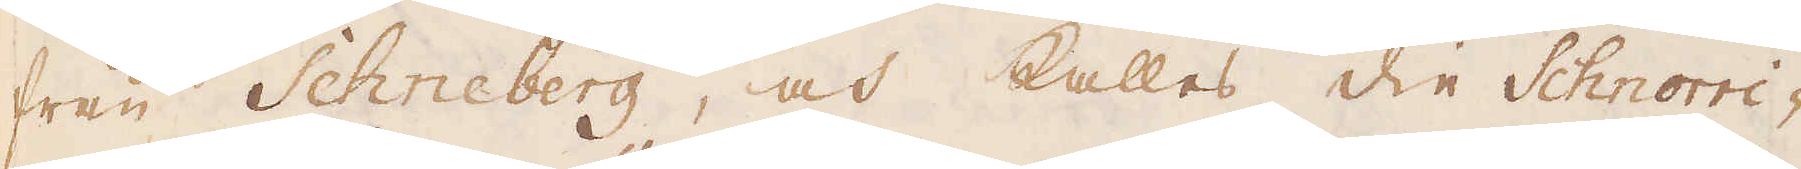från Schneberg, och kallas die Schnorri-
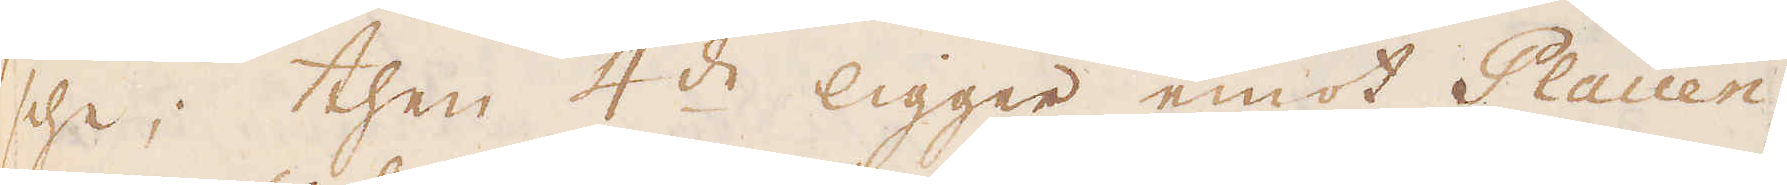sche; then 4:de ligger emot Plaüen-
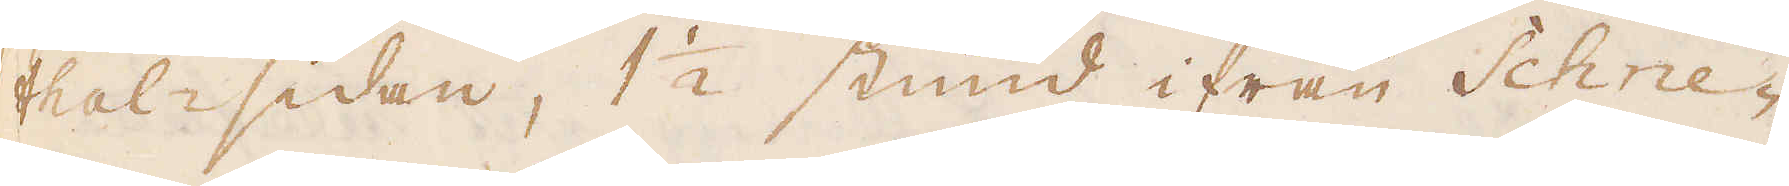thal-sidan, 1 1/2 stund ifrån Schne-
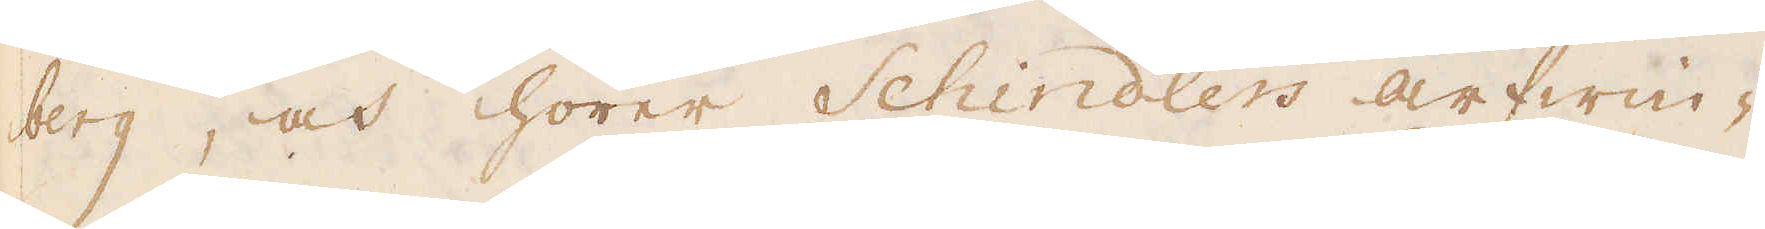berg, och hörer Schindlers arfwin-
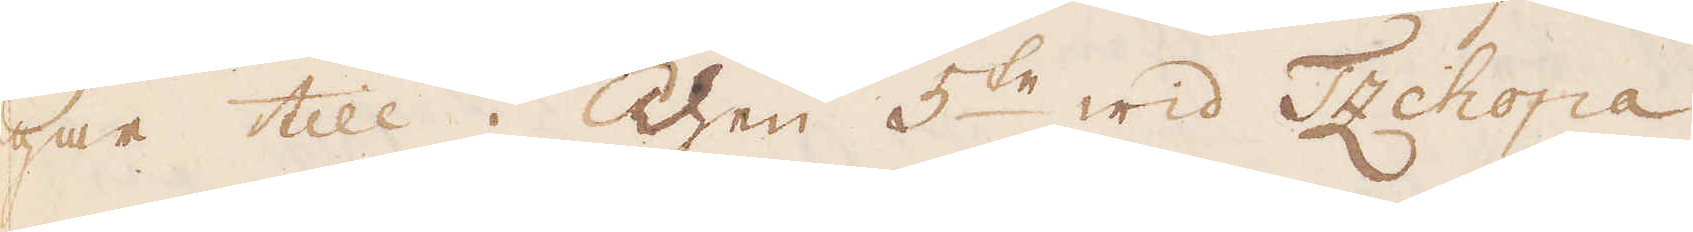far till; Then 5:te wid Tzchopa
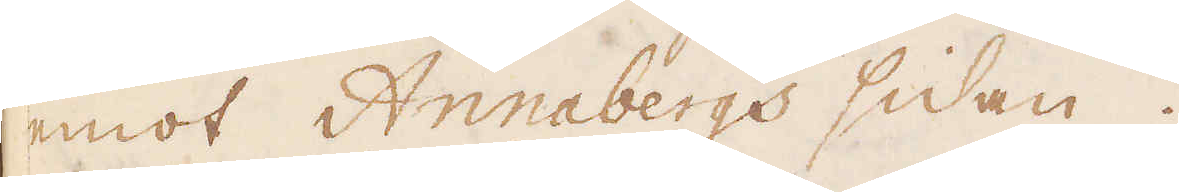emot Annabergs sidan.
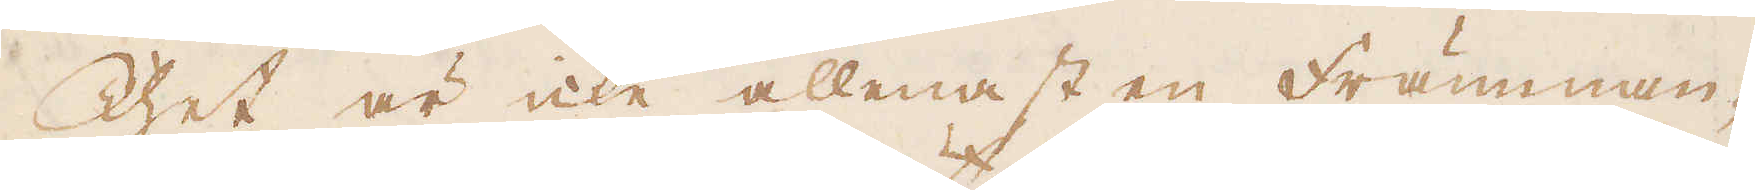Thet är icke allenast en Främman-
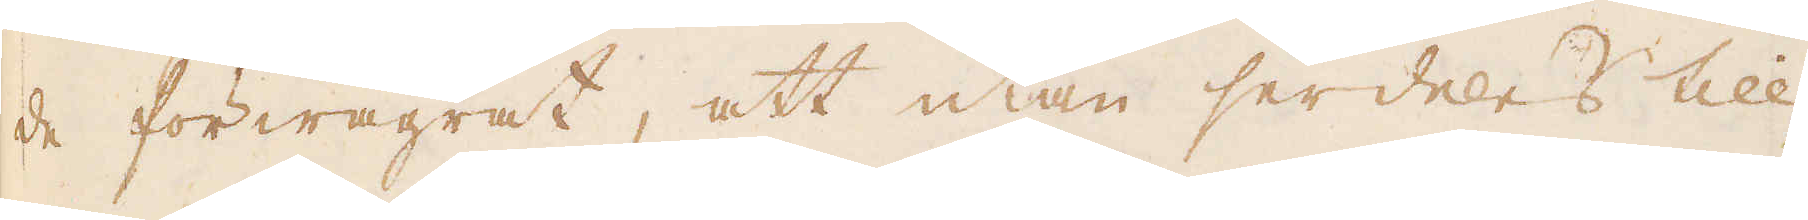de förwägrat, att utan serdeles till-
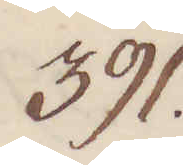391.
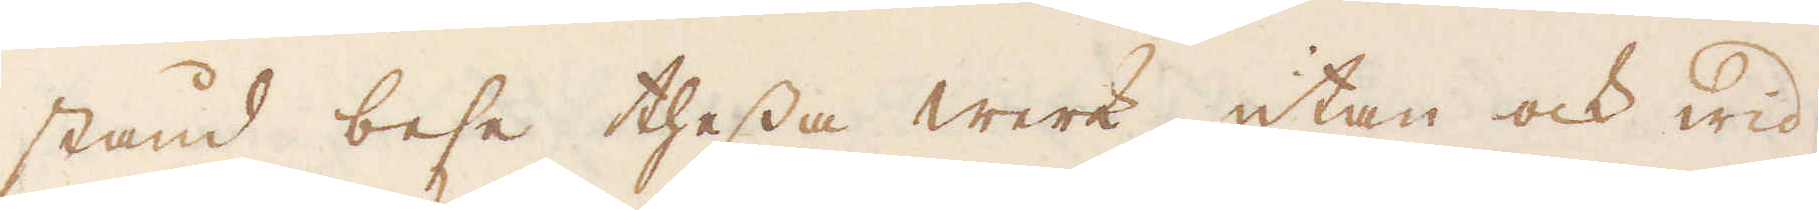stånd bese thessa werk, utan ock wid
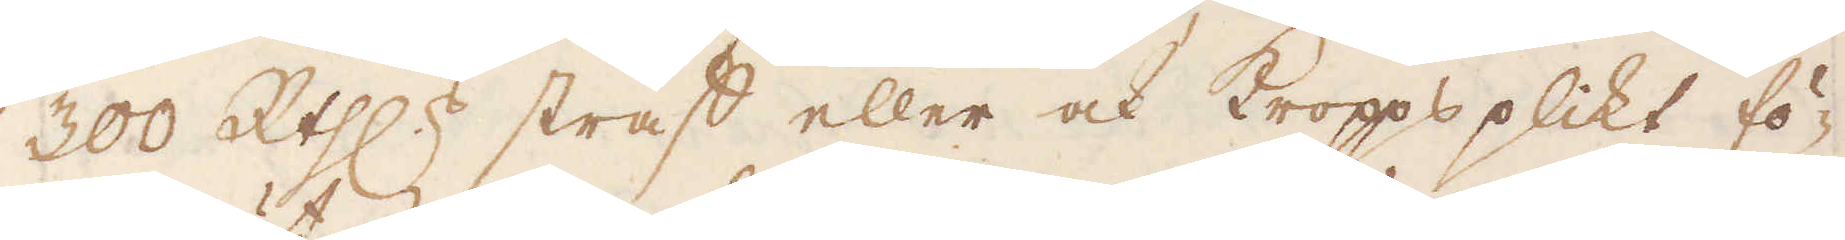300 R:th:r straff eller och Kroppsplikt fö-
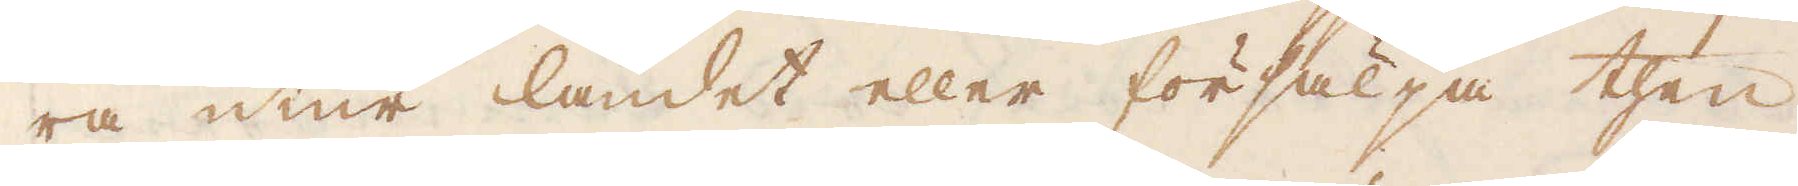ra utur landet eller försälja then
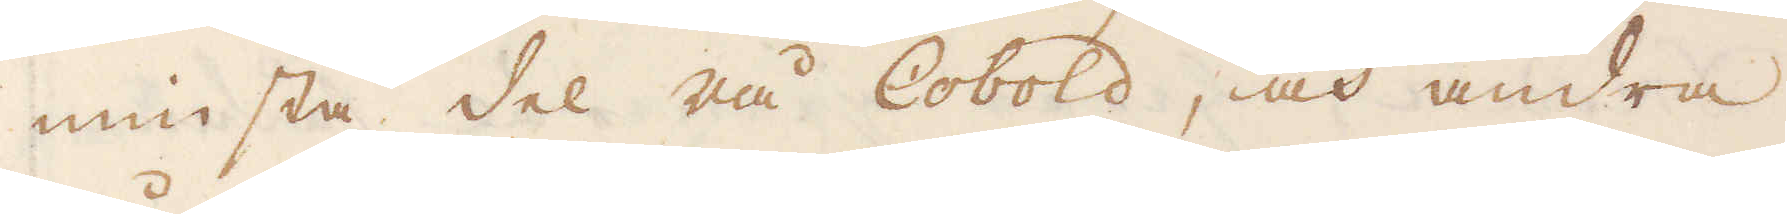minsta del rå Cobold, och andra
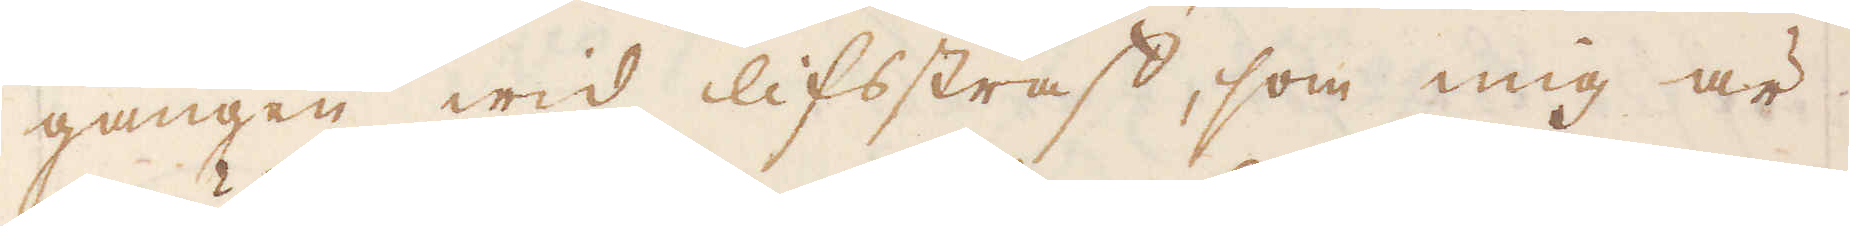gången wid lifsstraff, som mig är
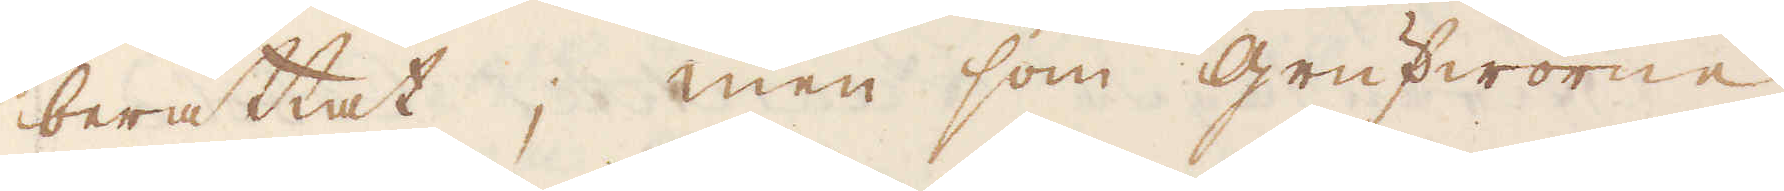berättat; men som grufworne
